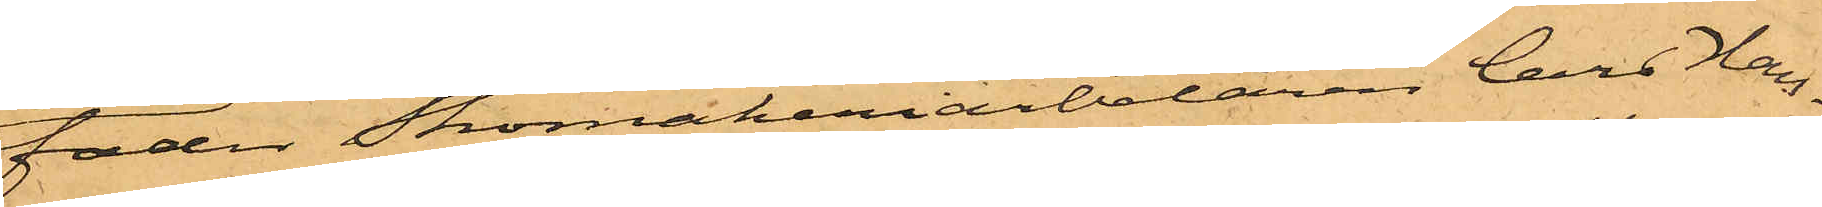fader Skomakeriarbetaren Lars Han¬
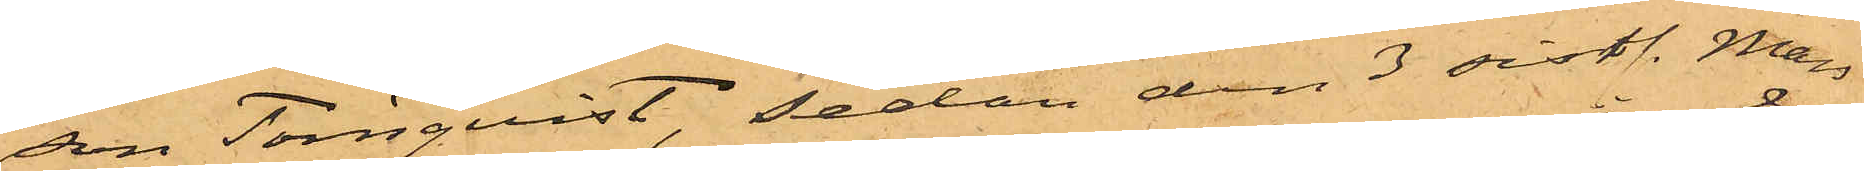son Törnqvist, sedan den 3 sistl. Mars
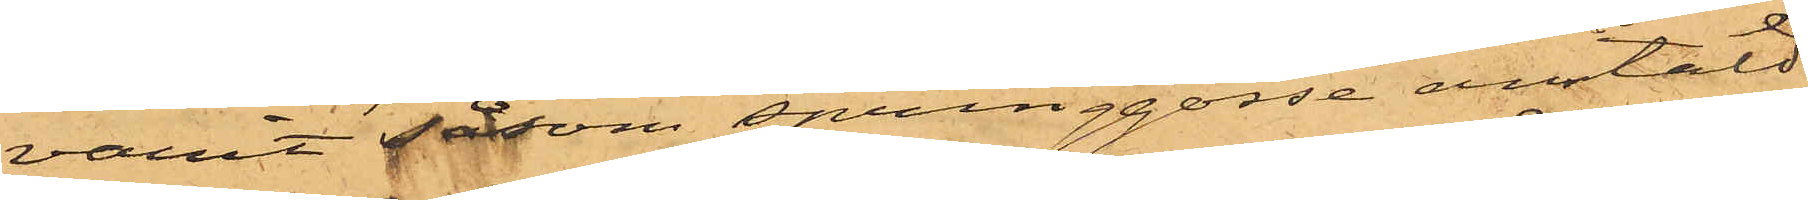varit såsom springgosse anstäld
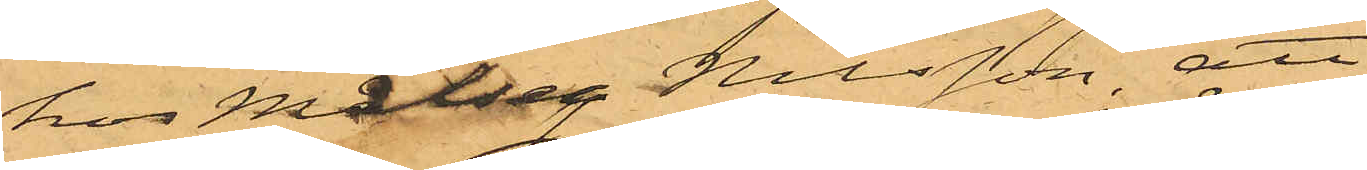hos Målseg. Nilsson, att
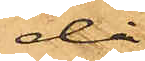då
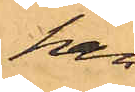han
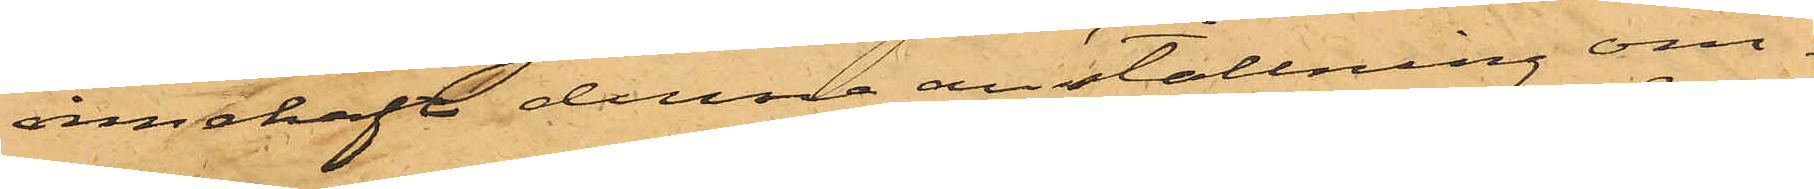innehaft denna anställning om¬
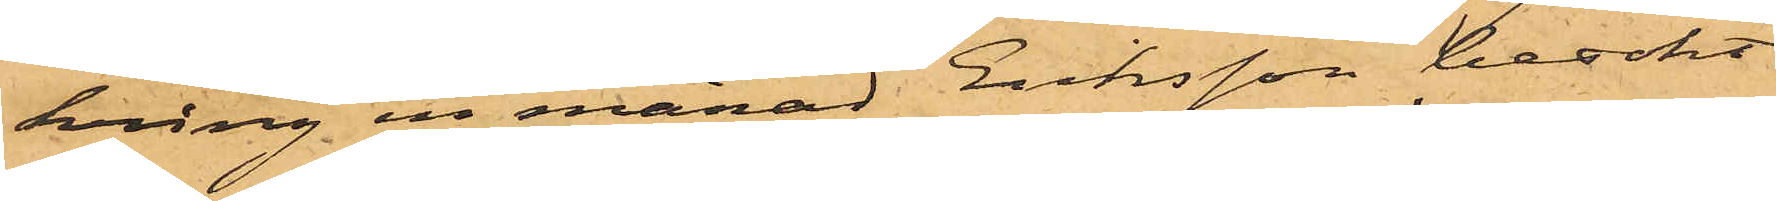kring en månad Eriksson besökt
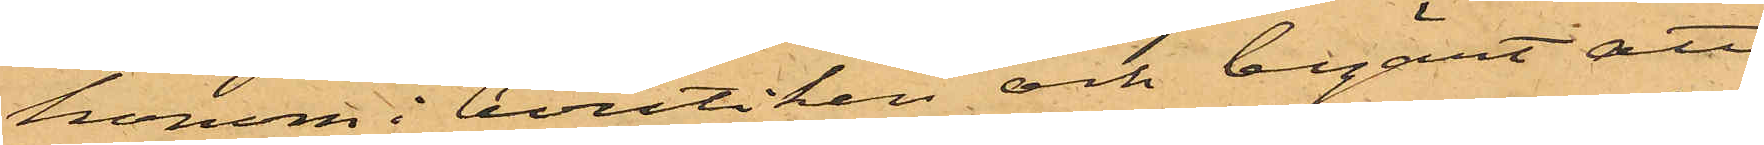honom i boutiken och begärt att
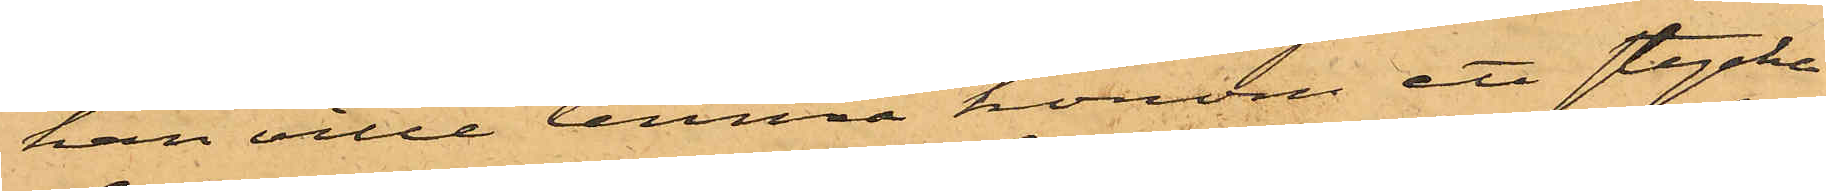han ville lemna honom ett stycke
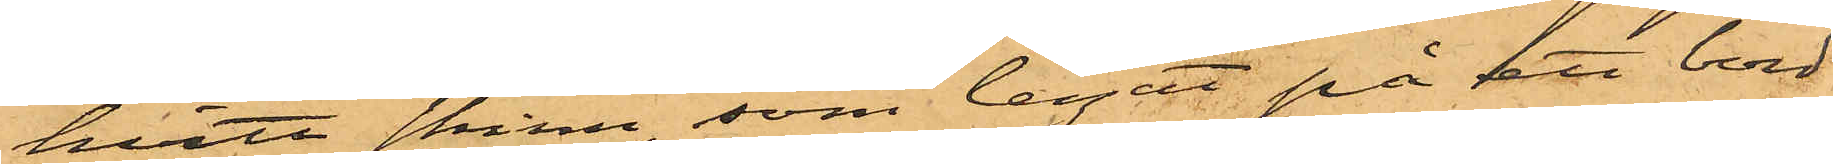hvitt skinn, som legat på ett bord
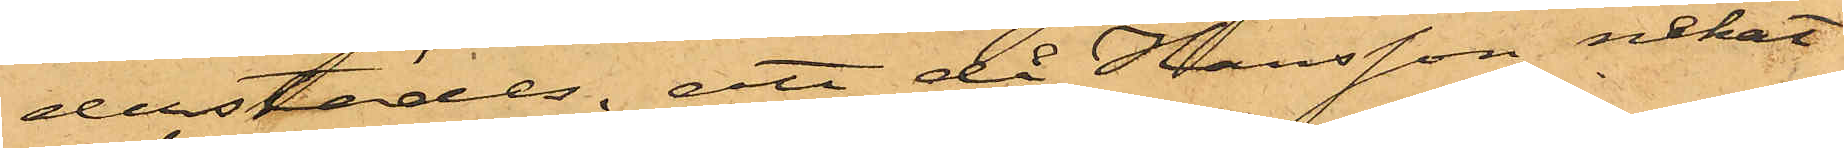derstädes; att då Hansson nekat
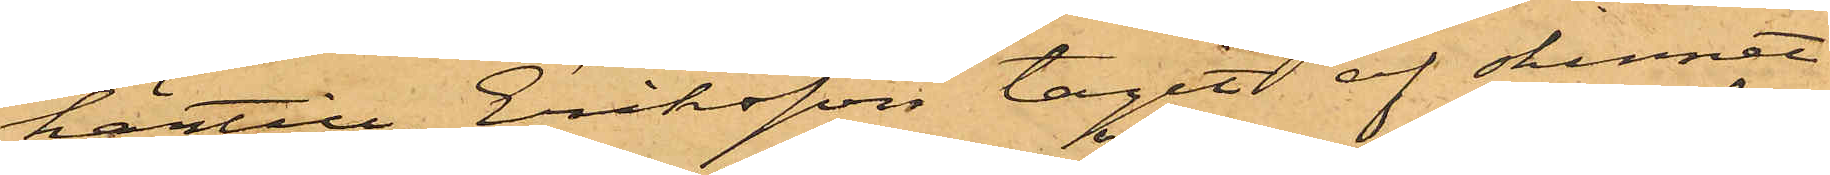härtill Eriksson tagit af skinnet
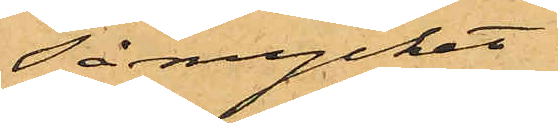så mycket
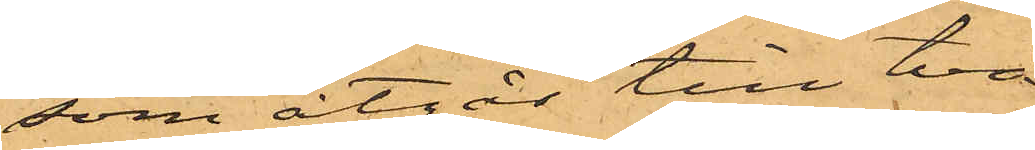som åtgår till två
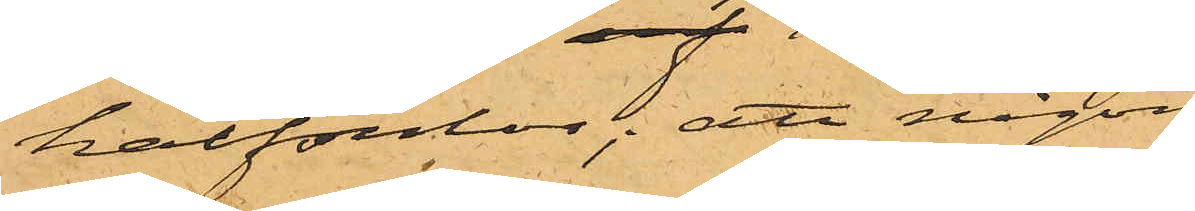halfsulor; att någon
